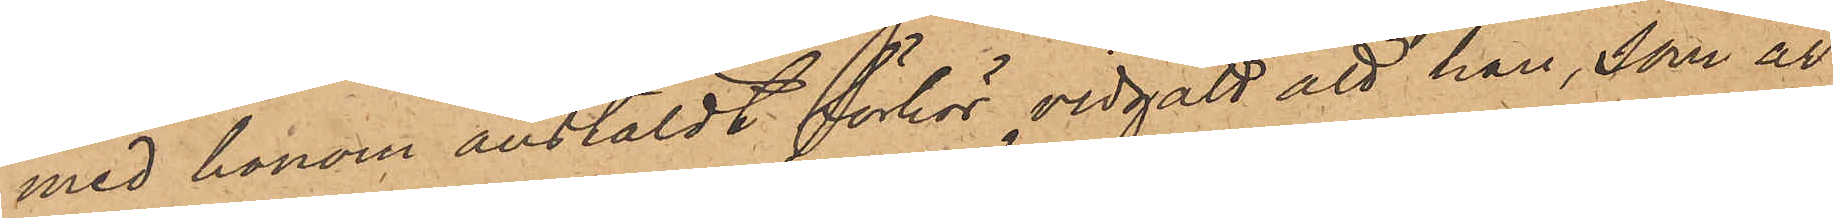med honom anstäldt förhör vidgått att han, som är
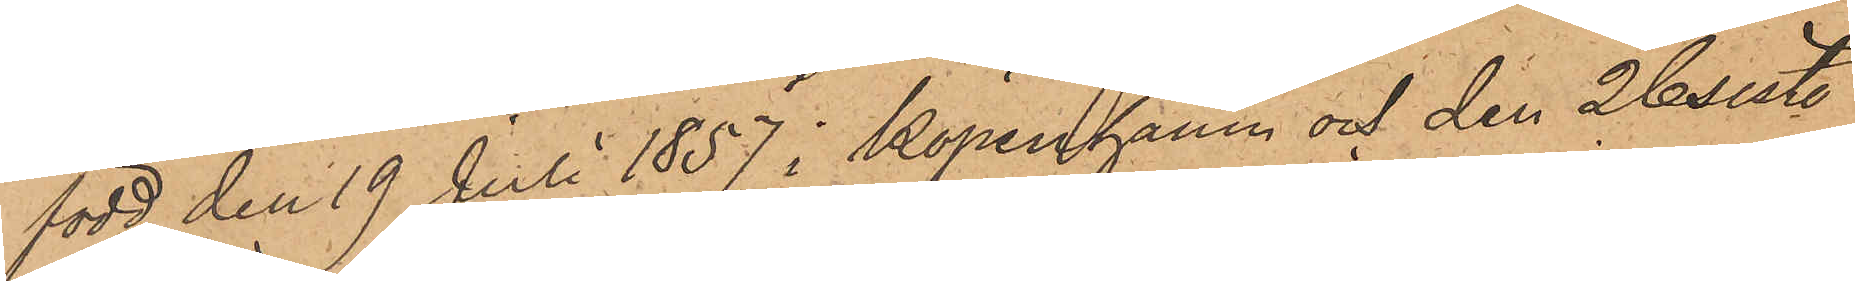född den 19 Juli 1857 i Köpenhamn och den 26 sist.
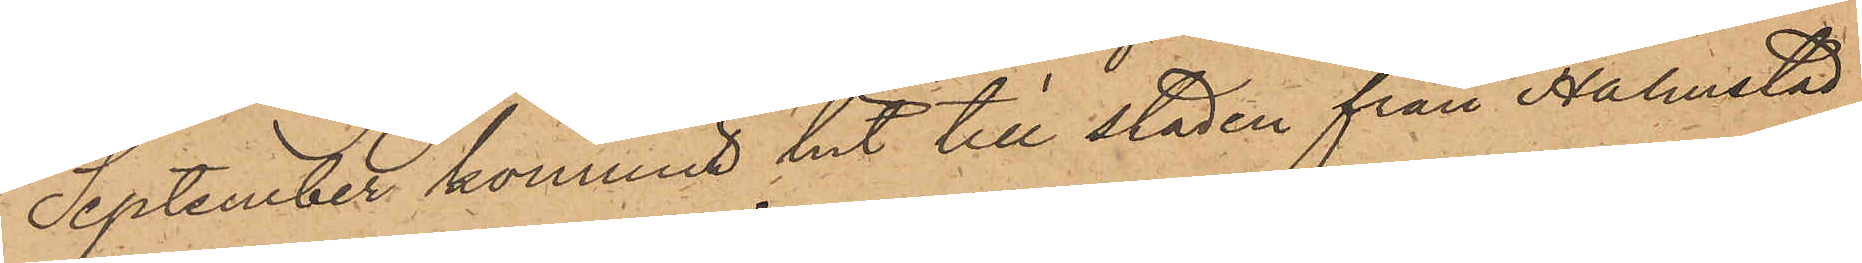September kommit hit till staden från Halmstad,
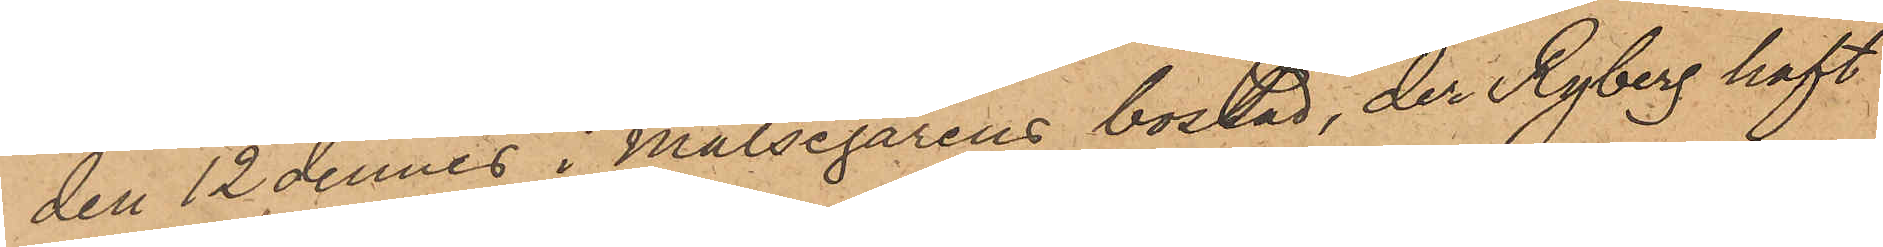den 12 dennes i Målsegarens bostad, der Ryberg haft
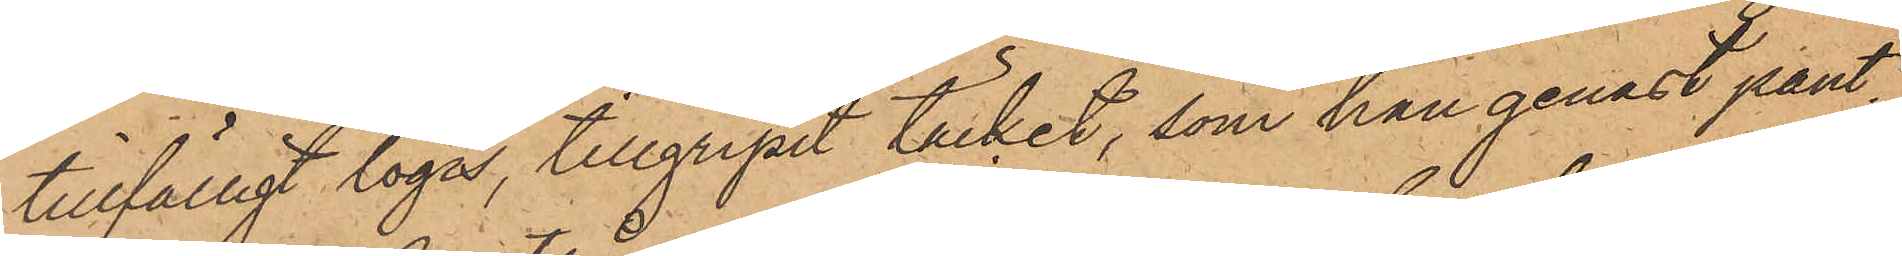tillfälligt logis, tillgripit täcket, som han genast pant¬
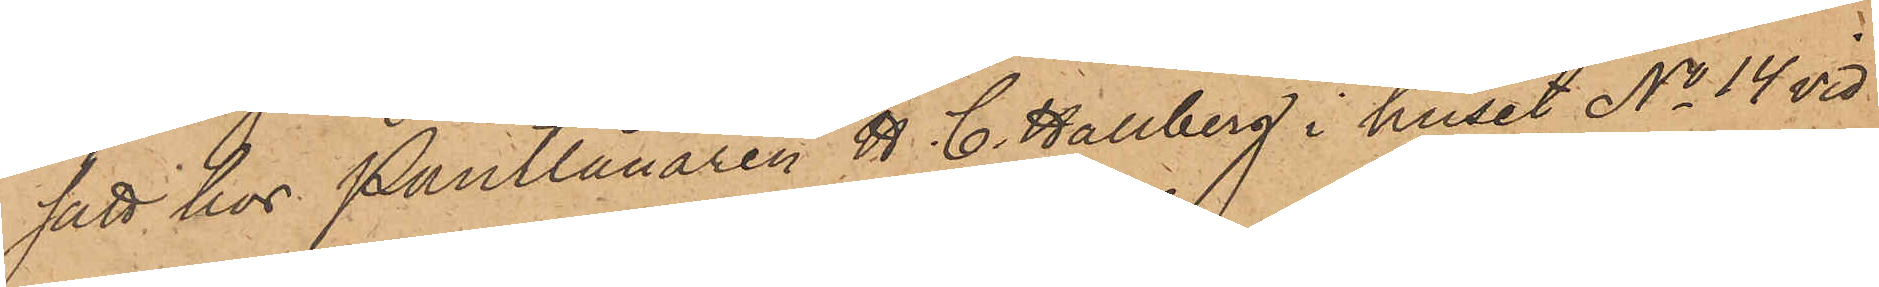satt hos Pantlånaren H. C. Hallberg i huset No 14 vid
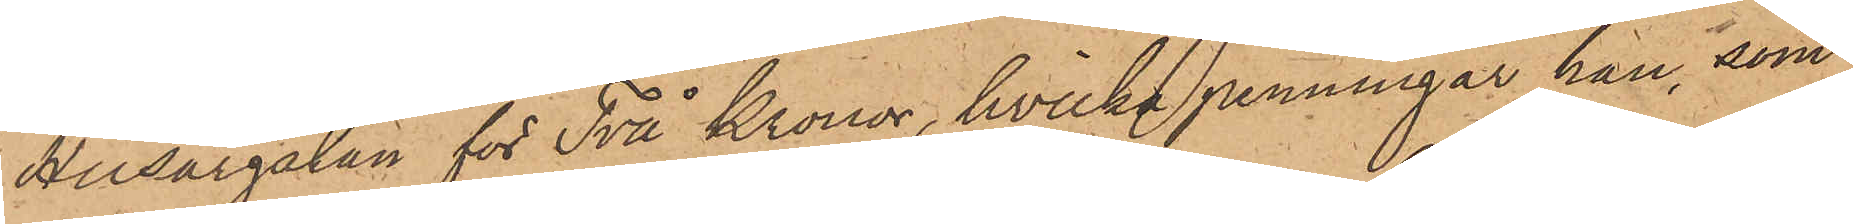Husargatan för Två Kronor, hvilka penningar han, som
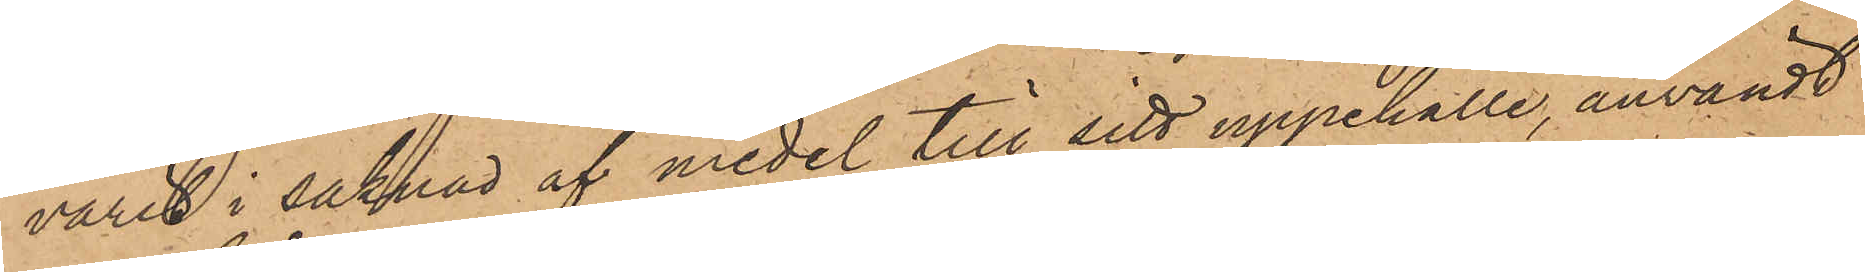varit i saknad af medel till sitt uppehälle, användt
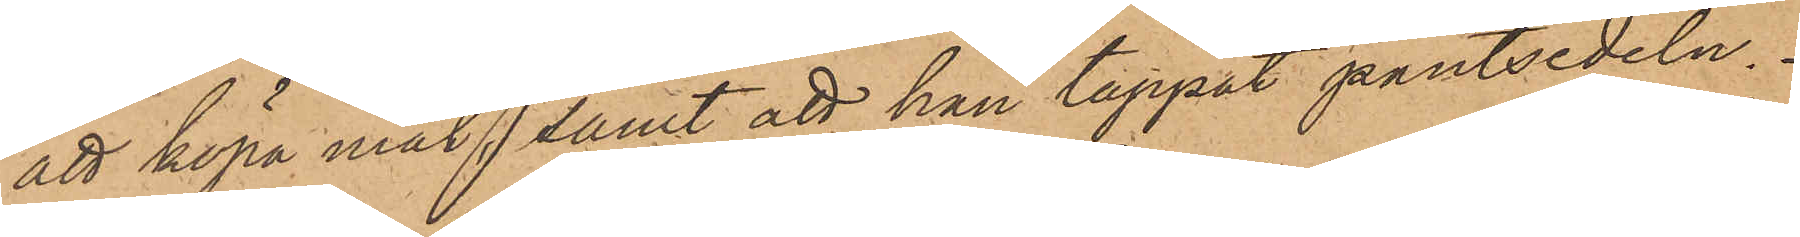att köpa mat; samt att han tappat pantsedeln.
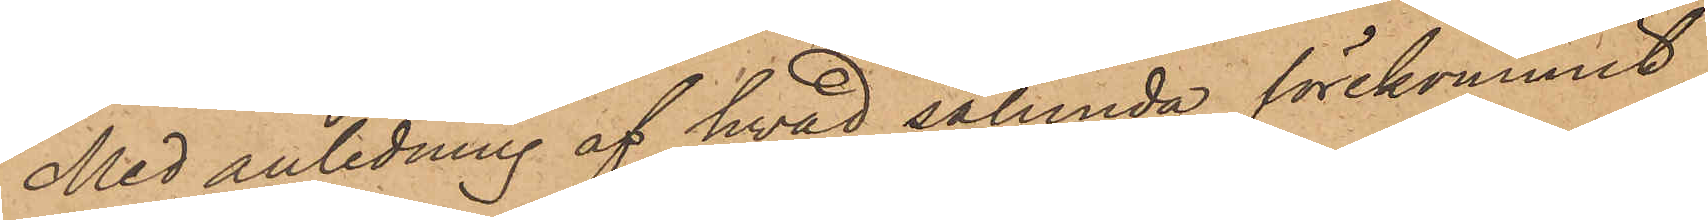Med anledning af hvad sålunda förekommit,
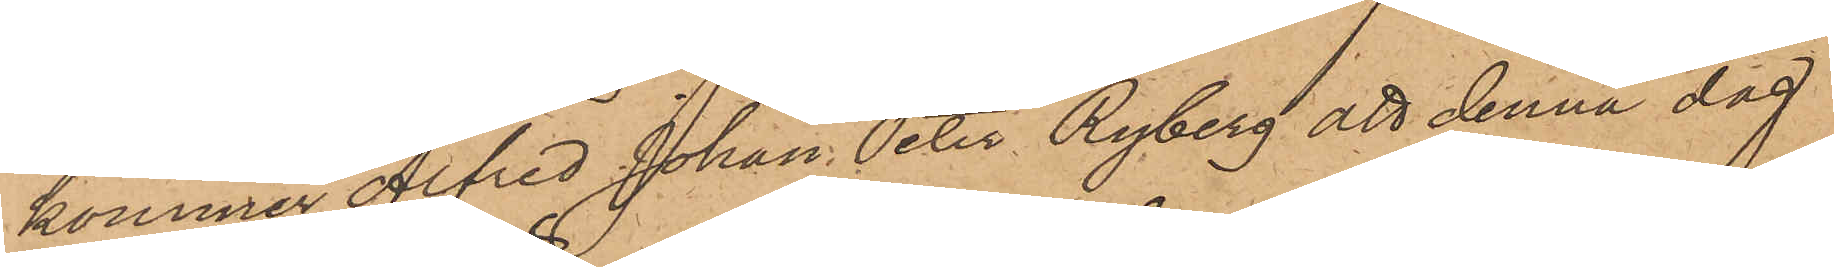kommer Alfred Johan Peter Ryberg att denna dag
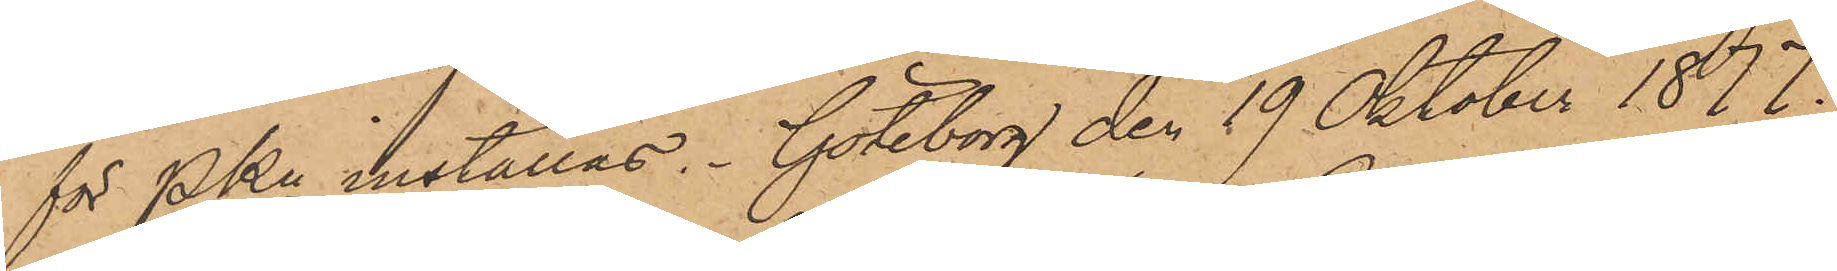för PKn inställas. Göteborg den 19 Oktober 1877.
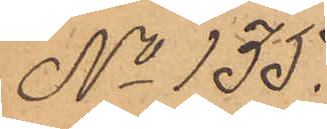No 135.
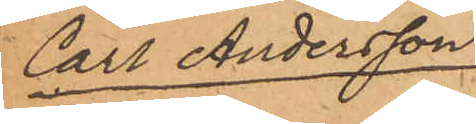Carl Andersson
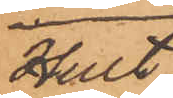Hult
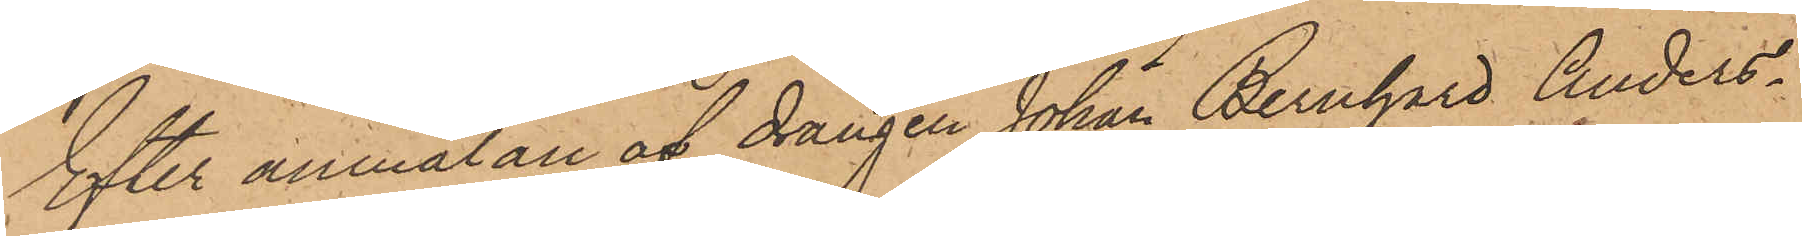Efter anmälan af drängen Johan Bernhard Anders¬
